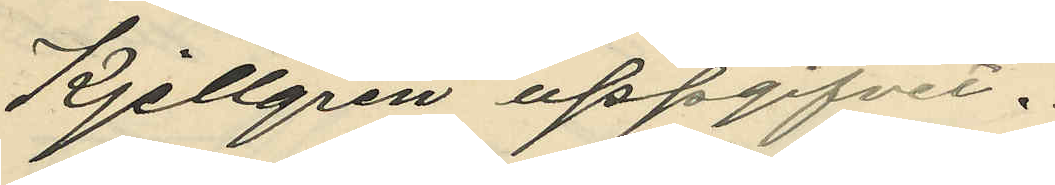Kjellgren uppgifvit.
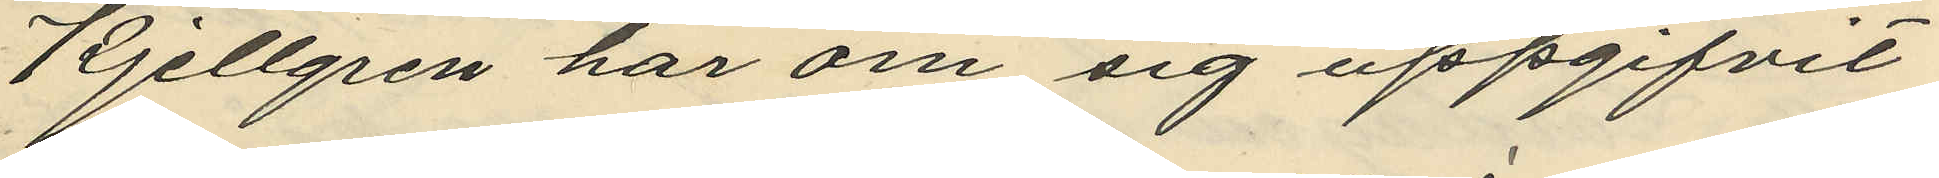Kjellgren har om sig uppgifvit
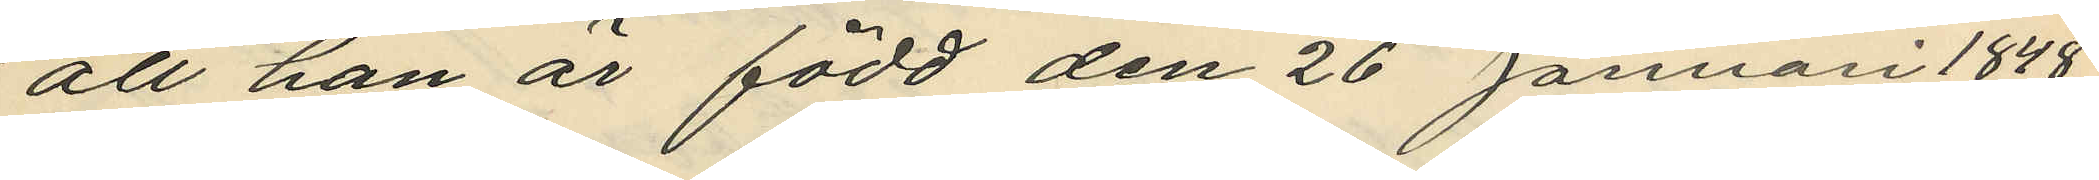att han är född den 26 Januari 1848.
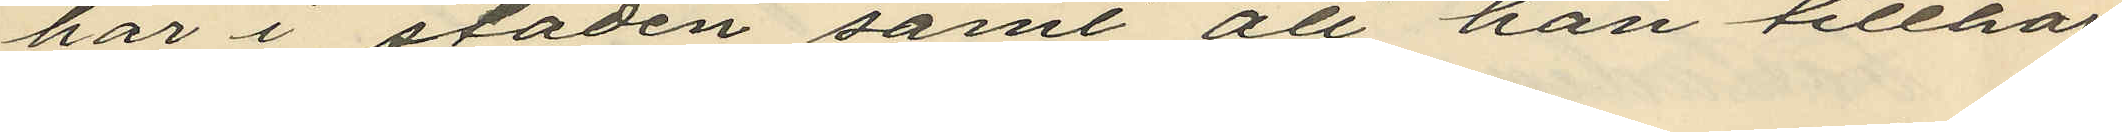här i staden samt att han tillhör
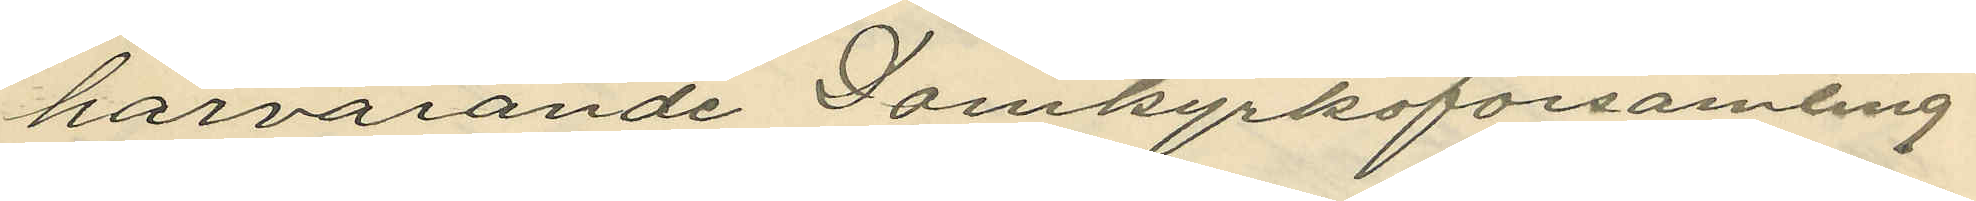härvarande Domkyrkoförsamling
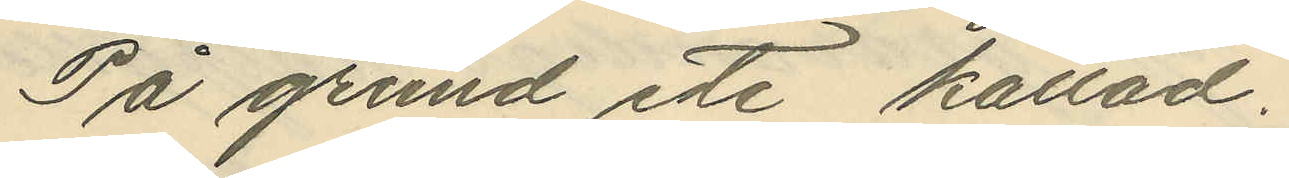På grund ete kallad;
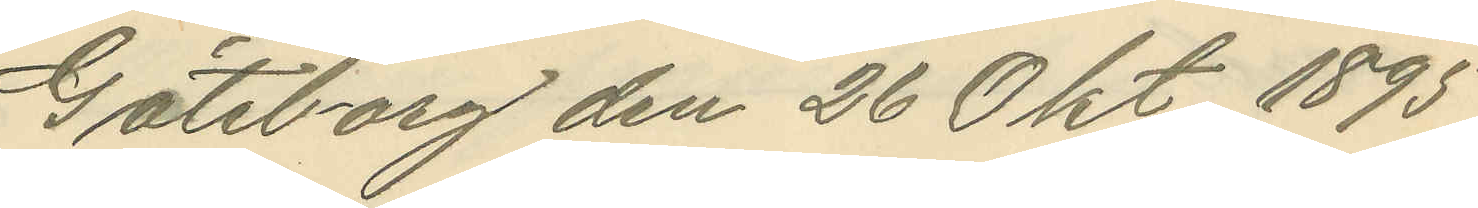Göteborg den 26 Okt. 1895
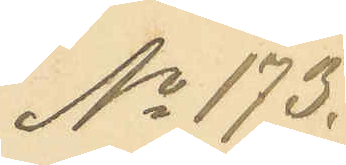No 173.
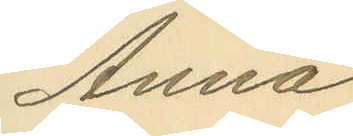Anna
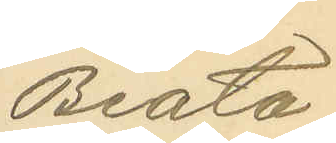Beata
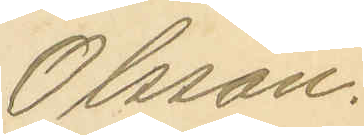Olsson.
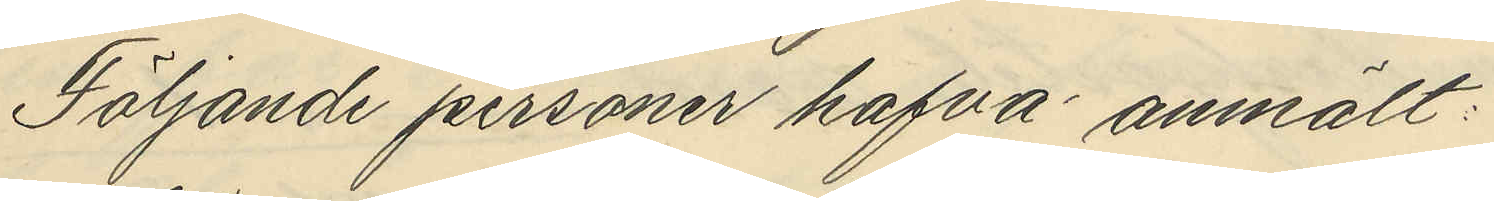Följande personer hafva anmält:
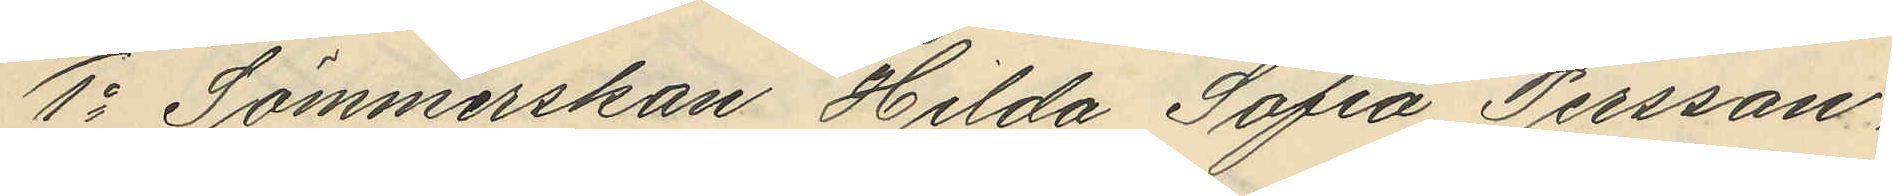1o Sömmerskan Hilda Sofia Persson,
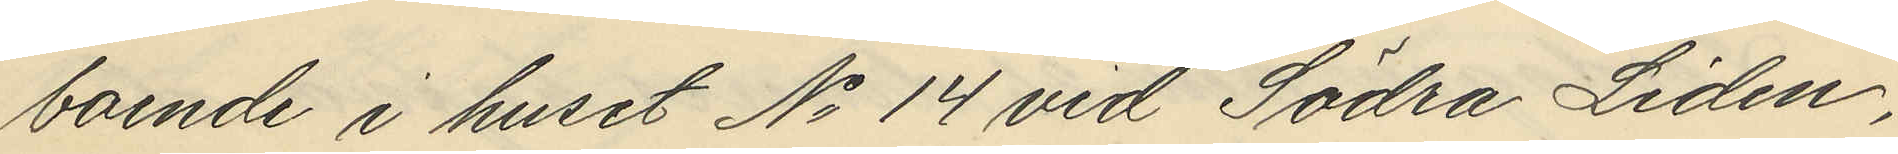boende i huset No 14 vid Södra Liden,
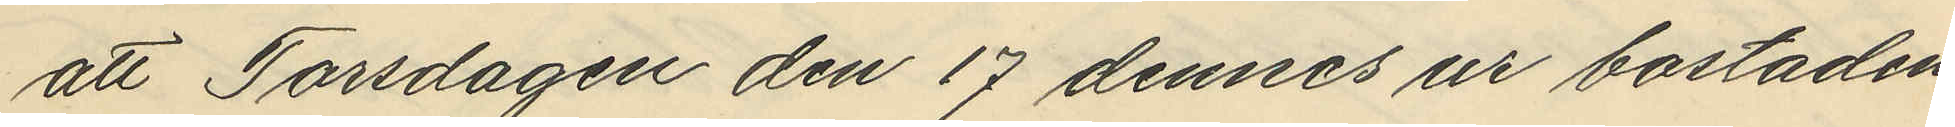att Torsdagen den 17 dennes ur bostaden
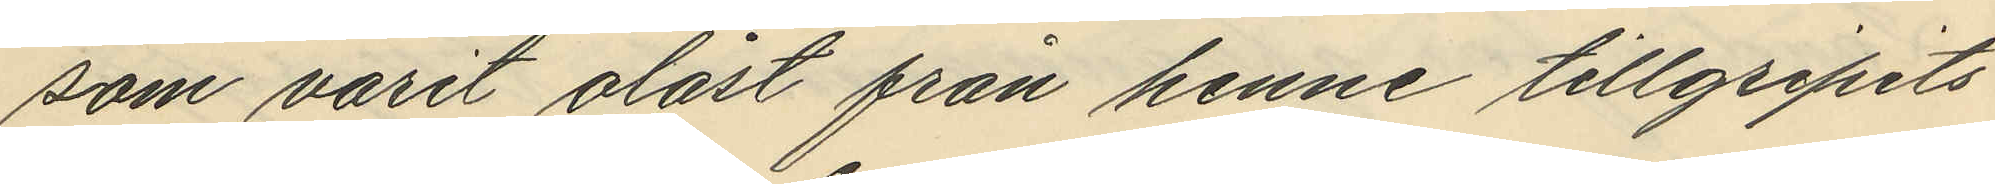som varit olåst från henne tillgripits
